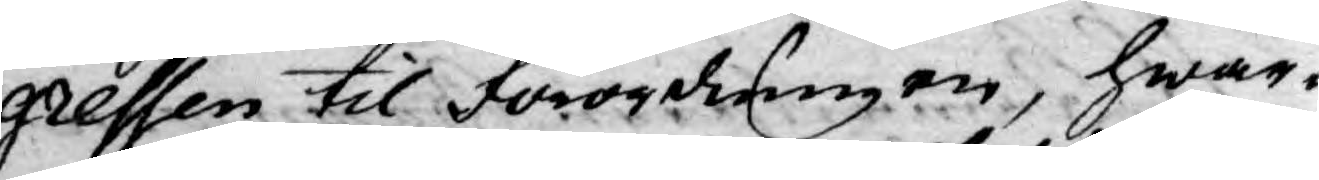gressen til förordningen, hwar¬
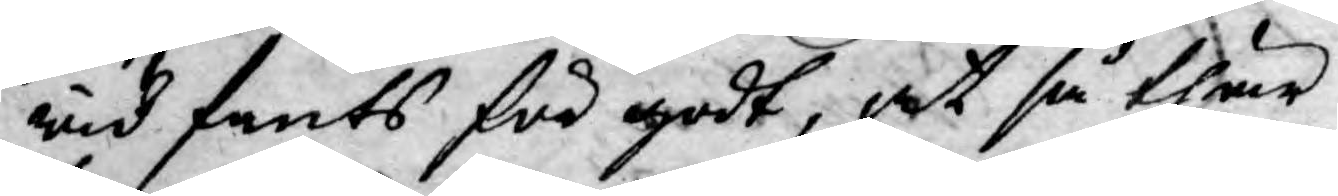wid fants för godt, at så thär
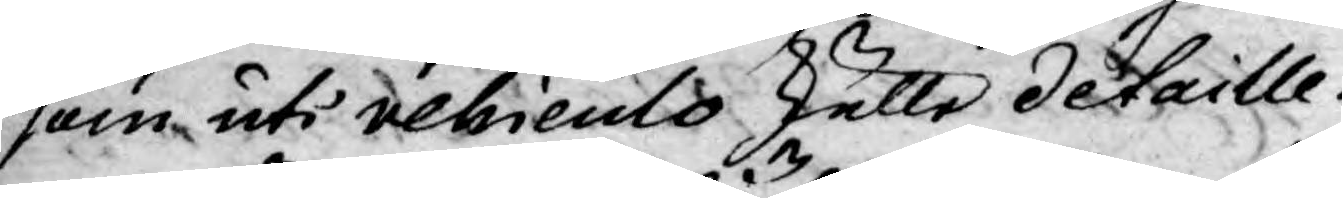som uti vehiculo skulle detaille¬
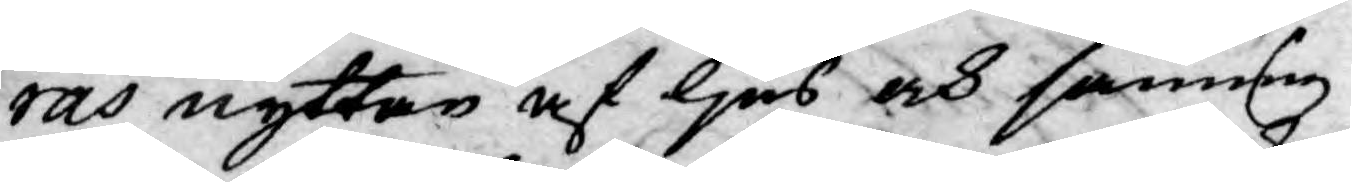ras nyttan af ljus och sanning
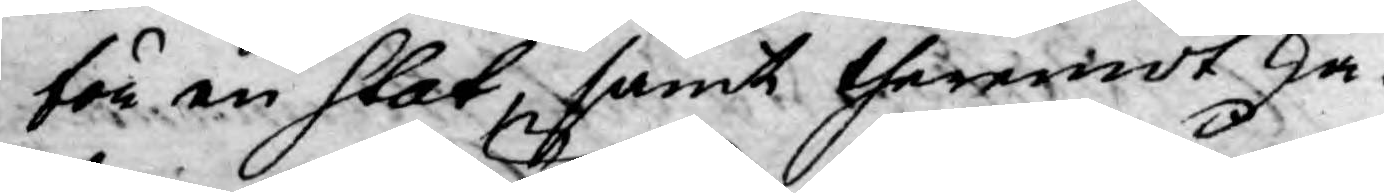för en Stat, samt theremot ske¬
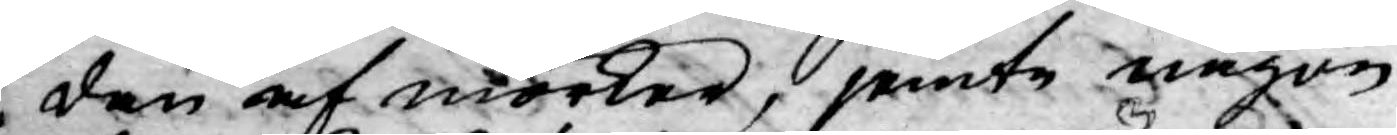den af mörker, jemte någon
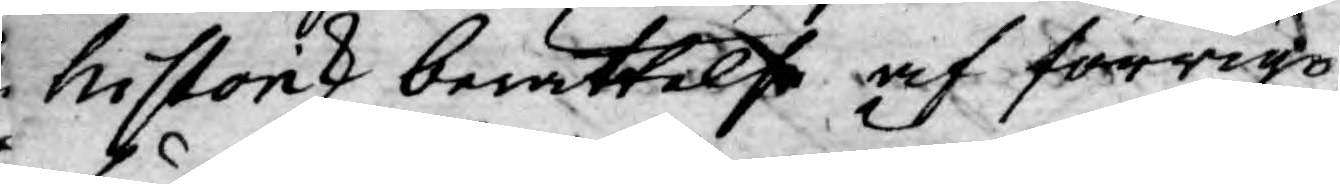historisk berättelse af förrigo
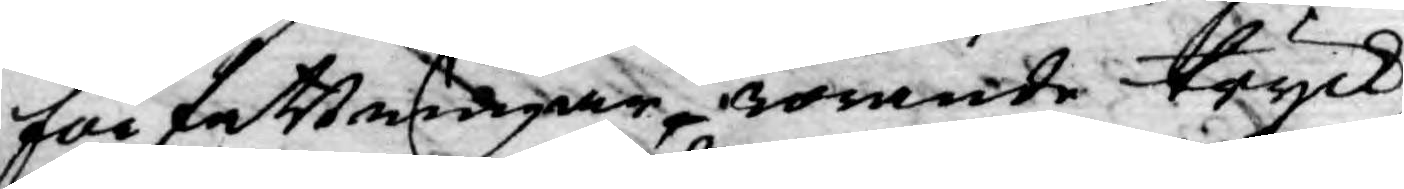författningar, rörande tryck,
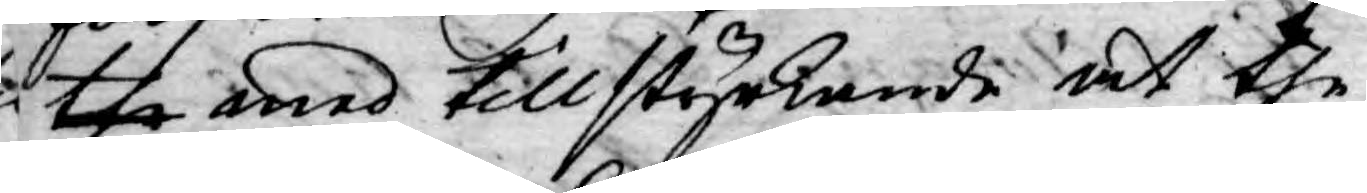the med tillstyrkande at the
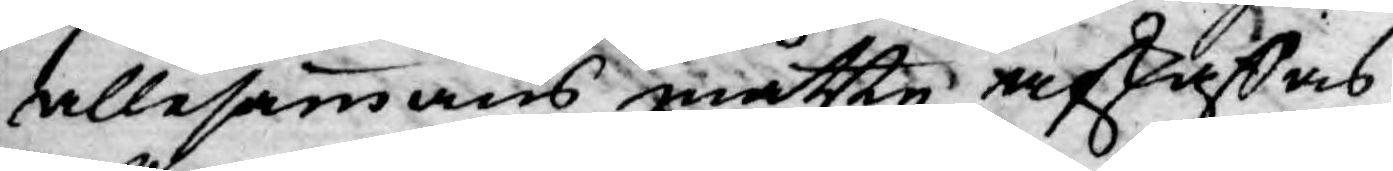allesammans måtte afskaffas,
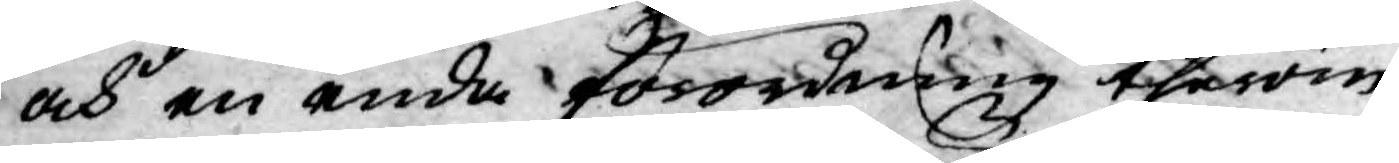och en enda förordning therom
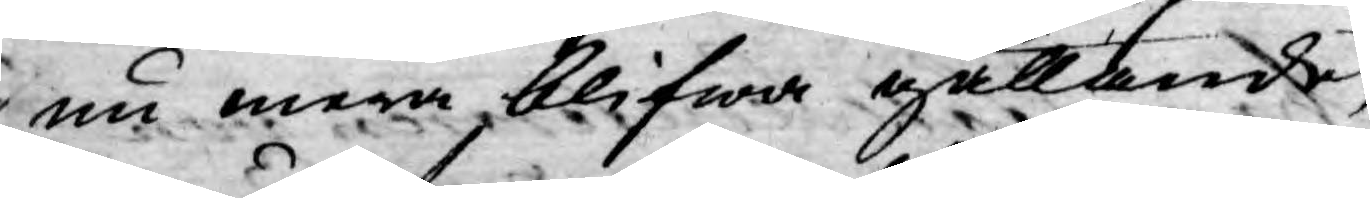nu mera, blifwa gällande,
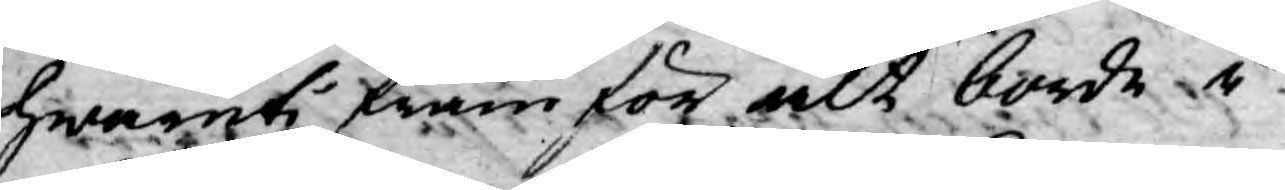hwaruti framför alt borde i
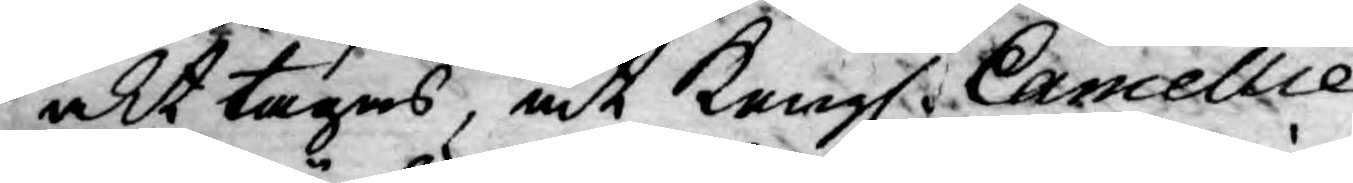akt tagas, at Kongl. Cancellie
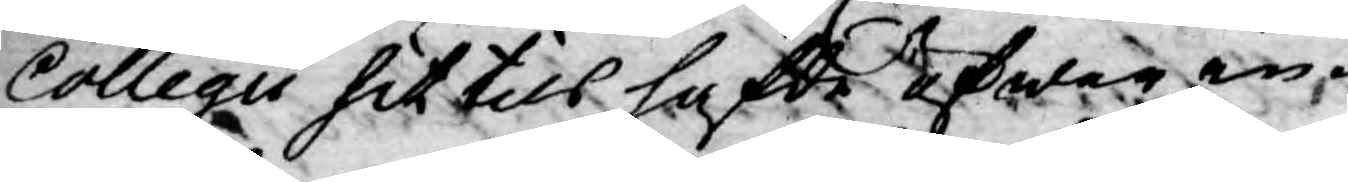Collegii hit till hafde öfwer in¬
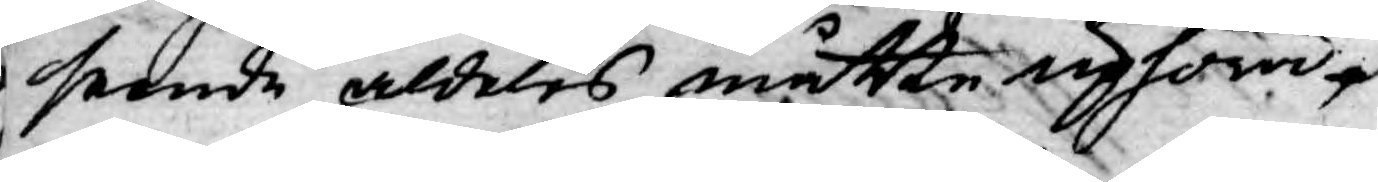seende aldeles måtte uphöra.
